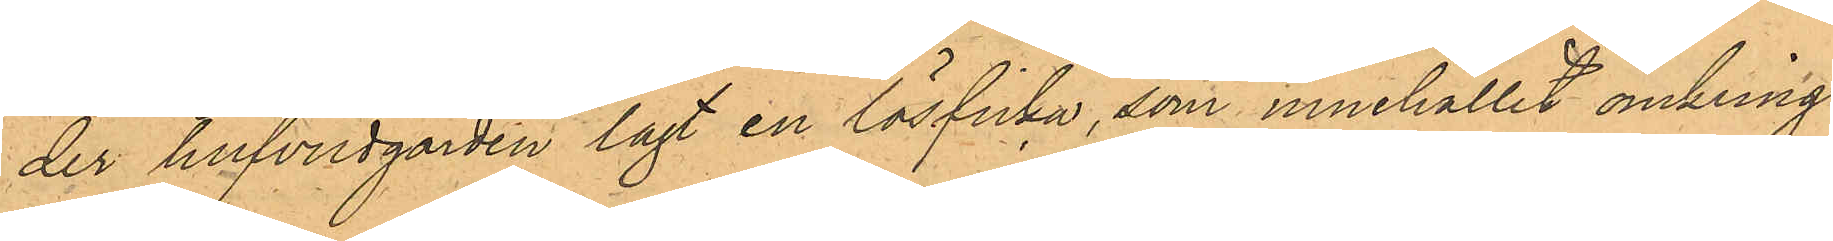der hufvudgården lagt en lösficka, som innehållit omkring
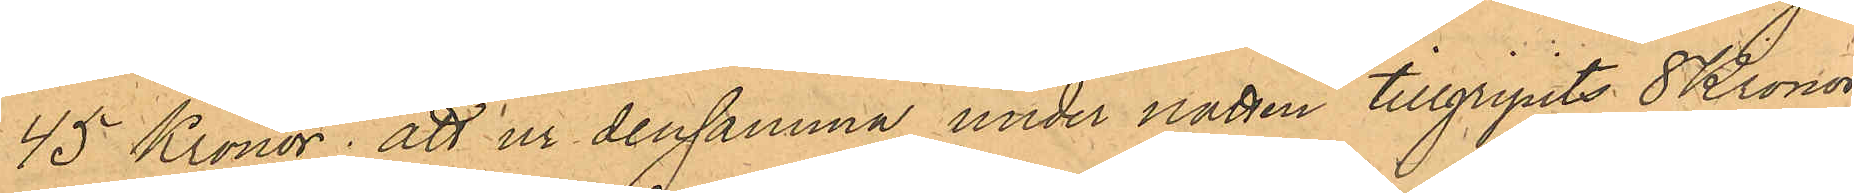45 Kronor; att ur densamma under natten tillgripits 8 Kronor,
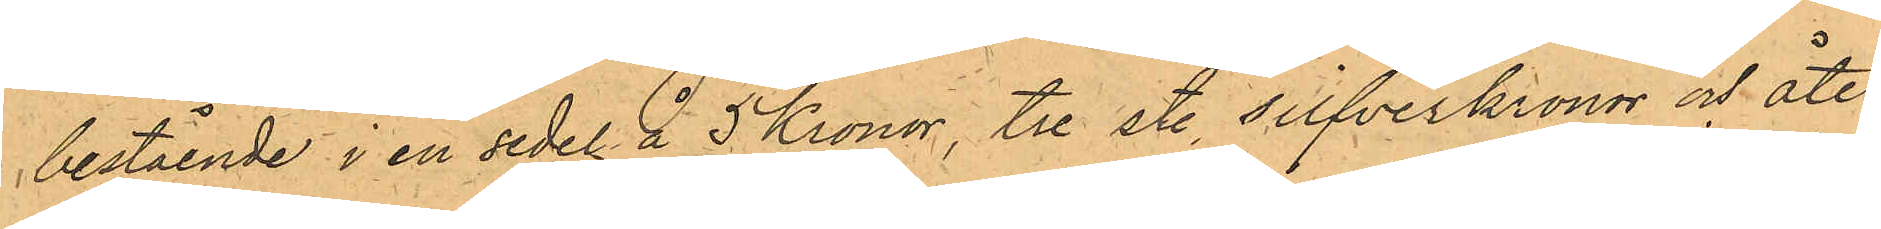bestående i en sedel å 5 Kronor, tre st. silfverkronor och åter¬
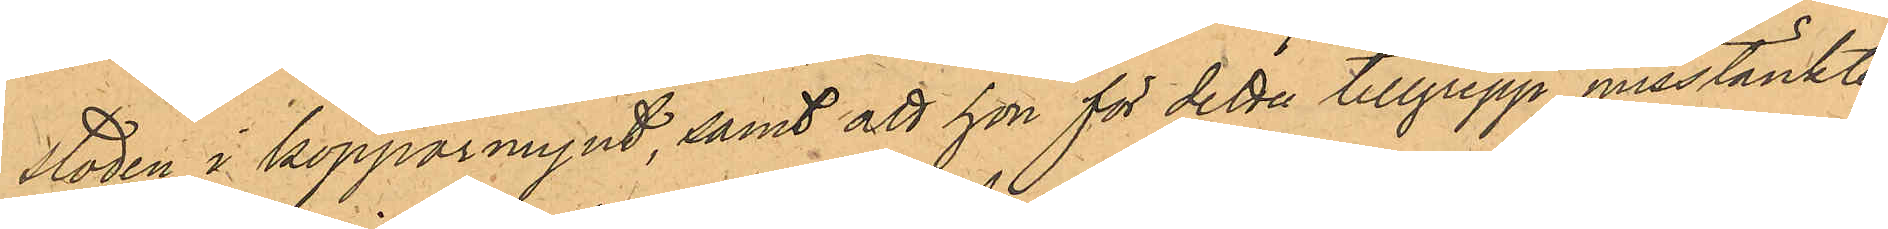stoden i kopparmynt, samt att hon för detta tillgrepp misstänkte
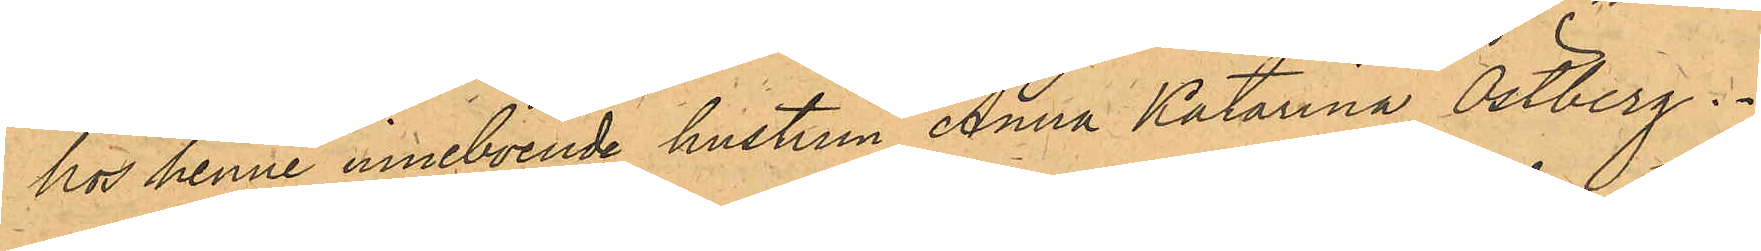hos henne inneboende hustrun Anna Katarina Östberg.
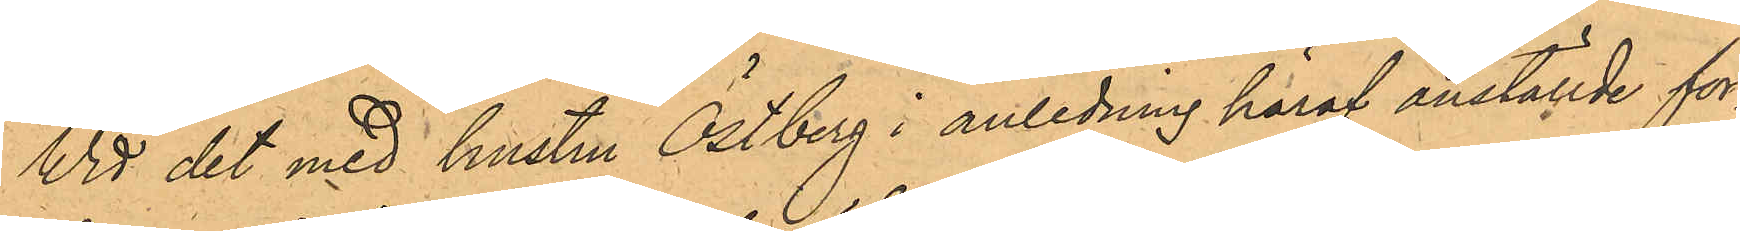Wid det med hustru Östberg i anledning häraf anställde för¬
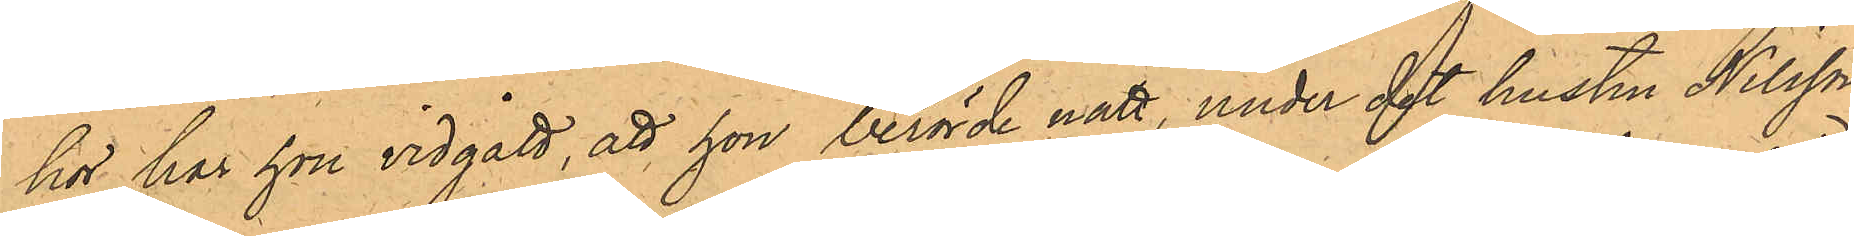hör har hon vidgått, att hon berörde natt, under det hustru Nilsson
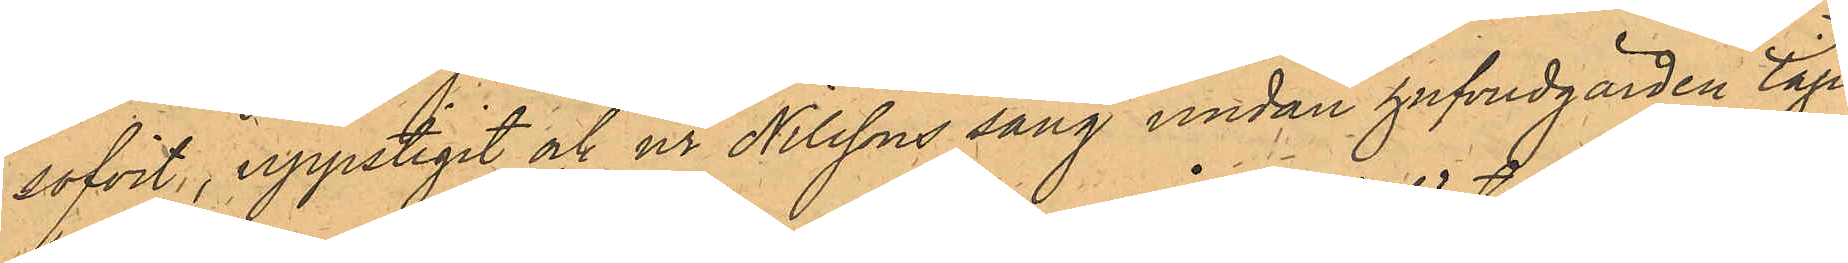sofvit, uppstigit och ur Nilssons säng undan hufvudgärden tagit
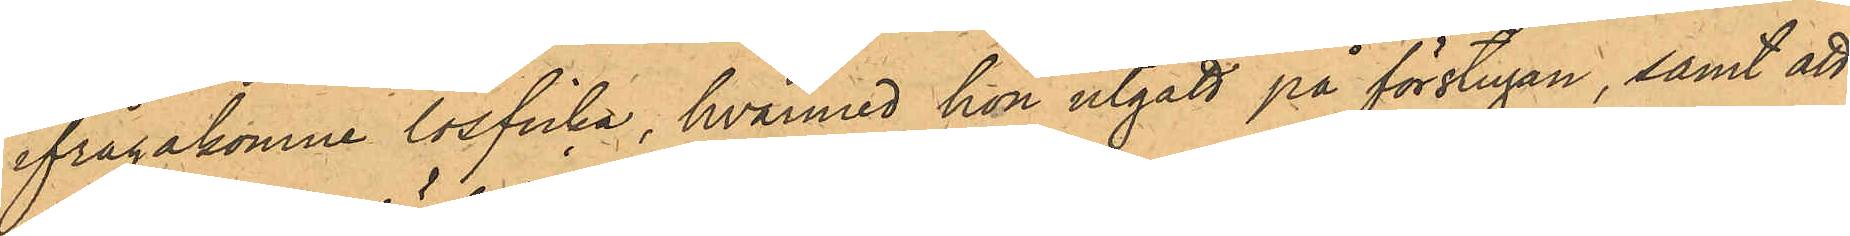ifrågakomne lösficka, hvarmed hon utgått på förstugan, samt att
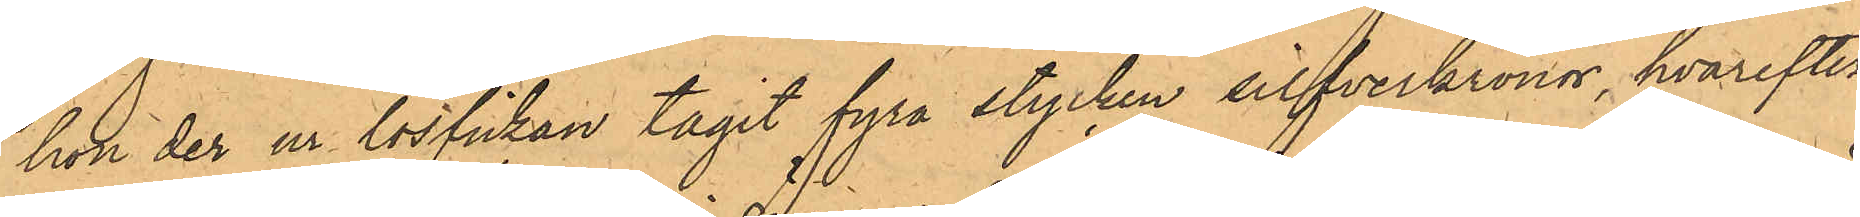hon der ur lösfickan tagit fyra stycken silfverkronor, hvarefter
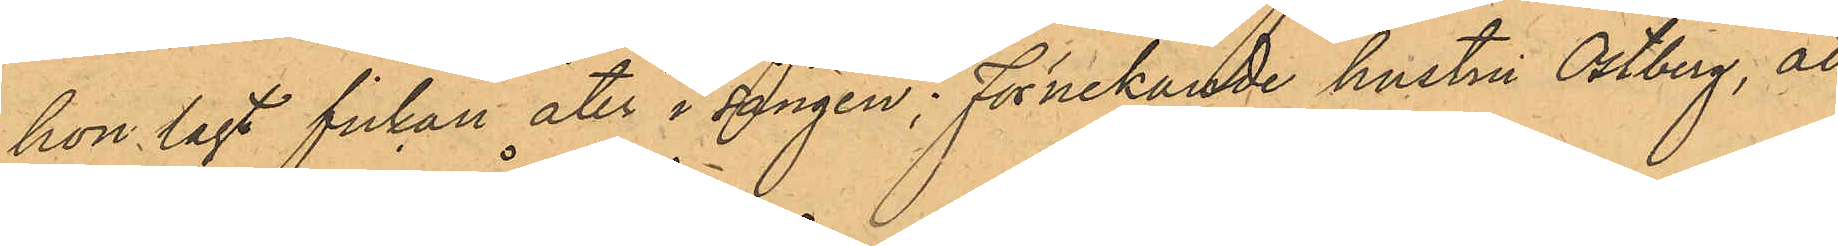hon lagt fickan åter i sängen; förnekande hustru Östberg, att
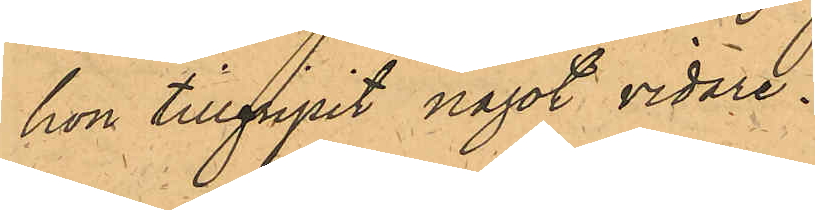hon tillgripit något vidare.
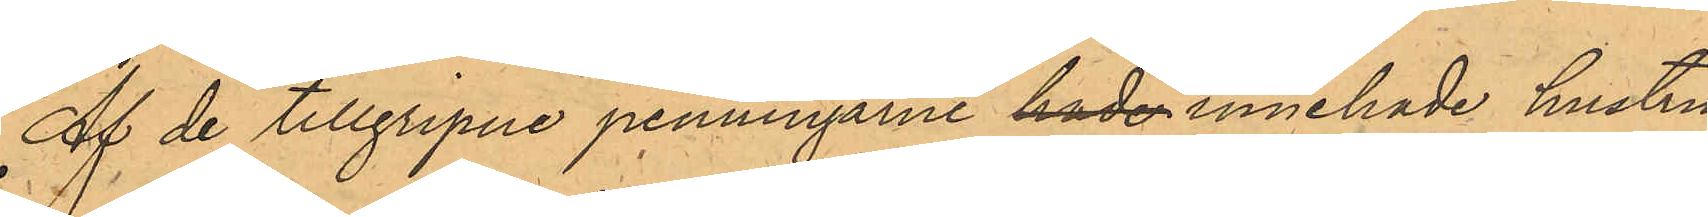Af de tillgripne penningarne hade innehade hustru
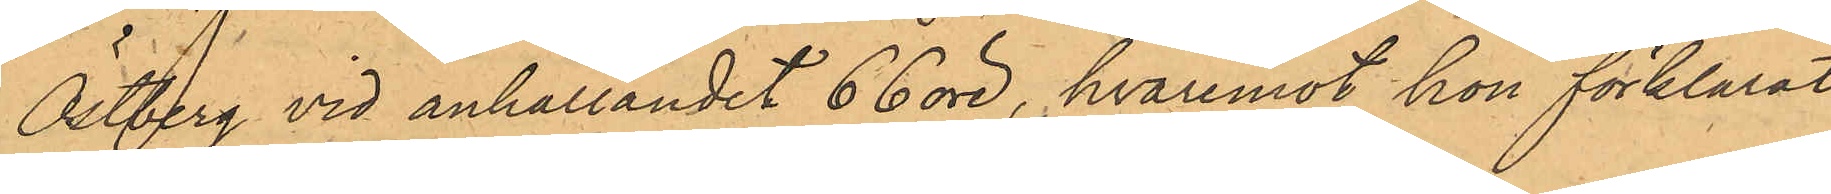Östberg vid anhållandet 66 öre, hvaremot hon förklarat
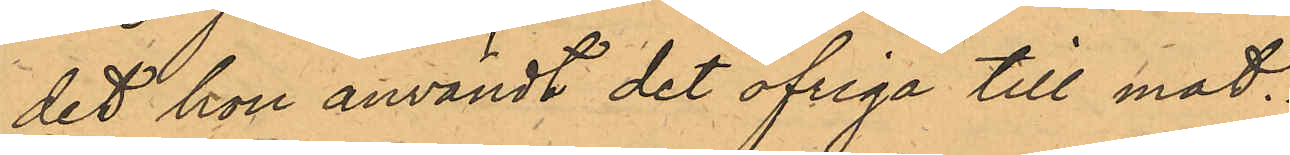det hon användt det öfriga till mat.
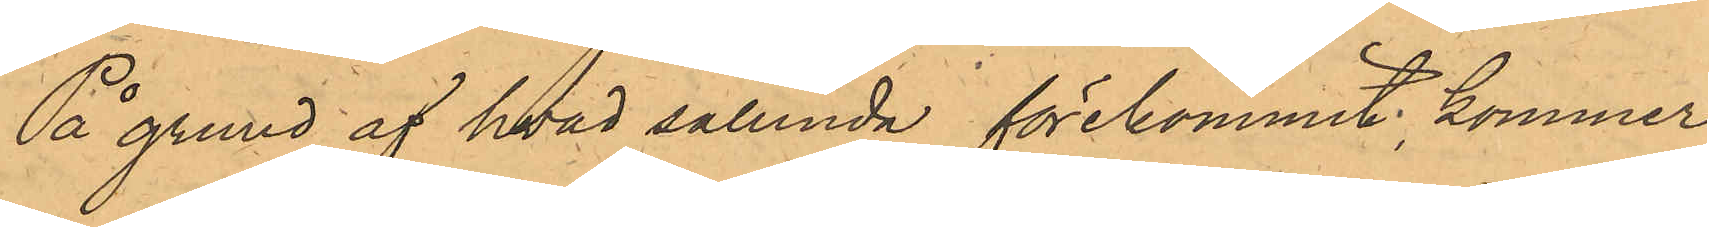På grund af hvad sålunda förekommit, kommer
